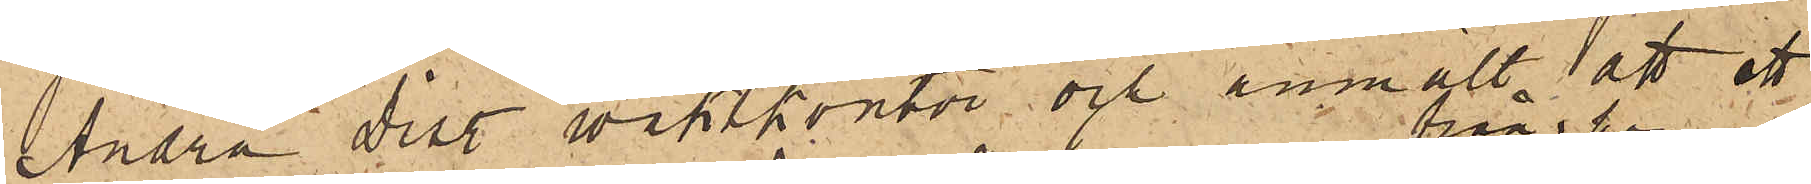Andra Dist. vaktkontor och anmält, att ett
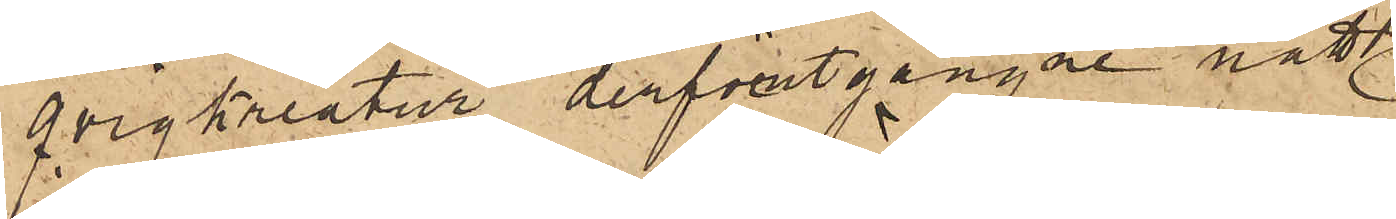qvigkreatur derförutgångne natt
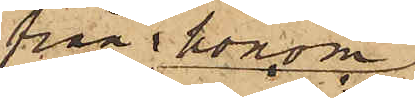från honom
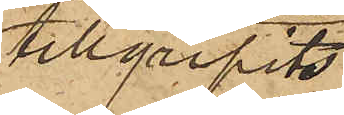tillgripits
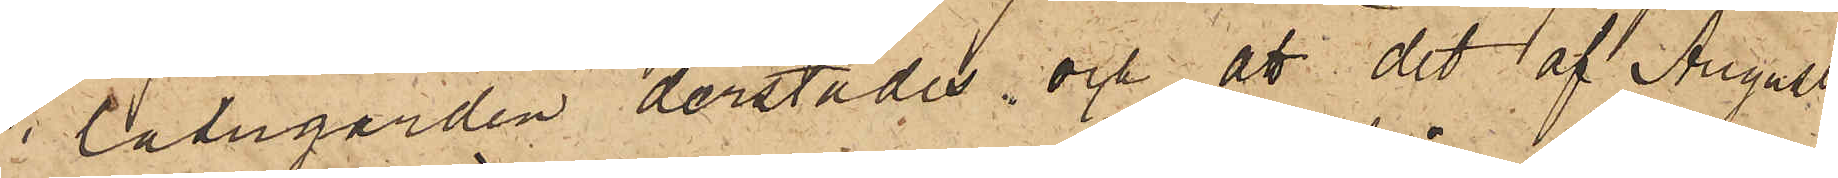i ladugården derstädes, och att det af August
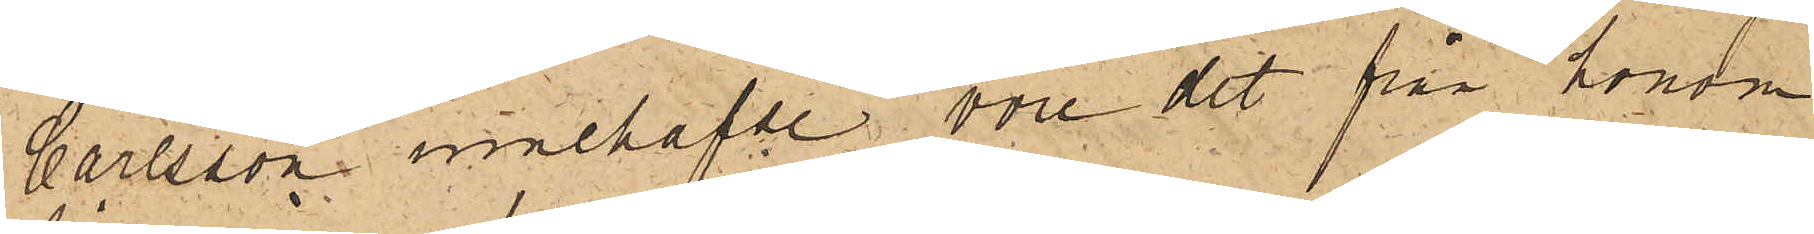Carlsson innehafde vore det från honom
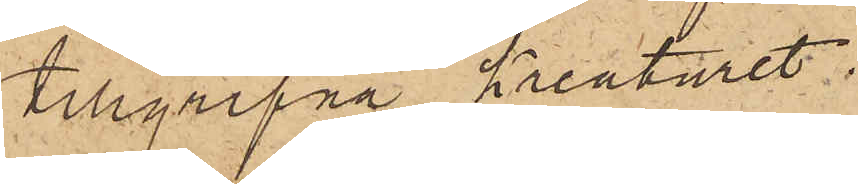tillgripna kreaturet.
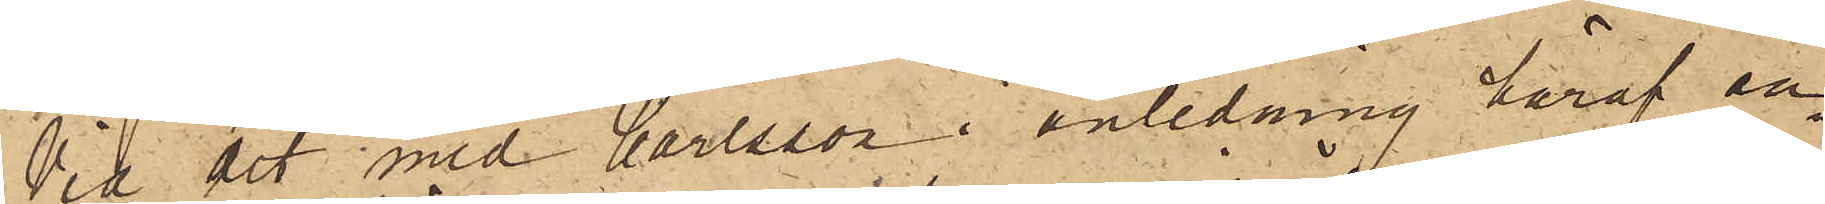Vid det med Carlsson i anledning häraf an¬
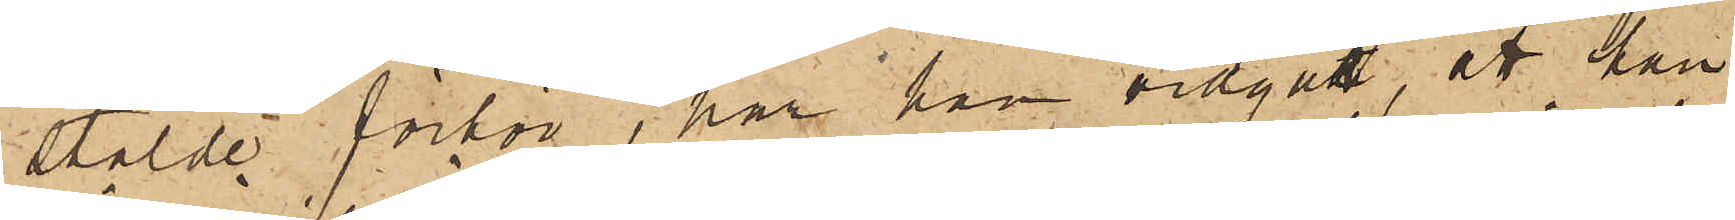stälde förhör, har han vidgått, att han
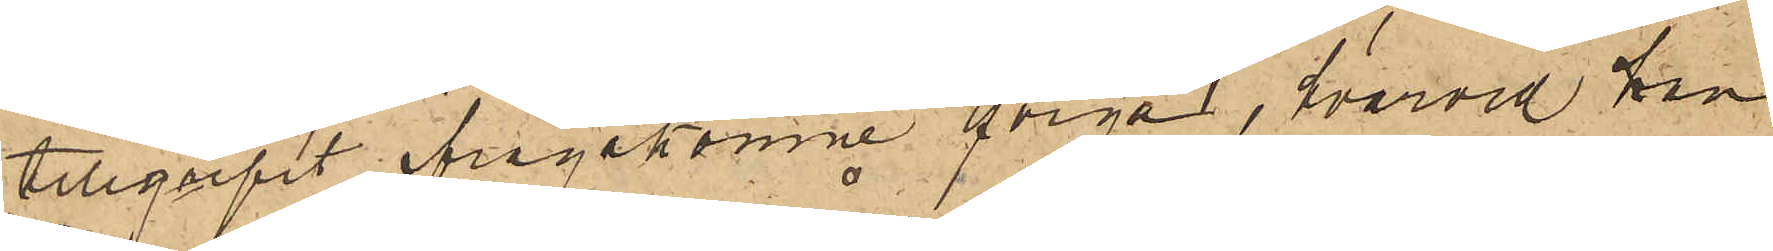tillgripit ifrågakomne qviga, hvarvid han
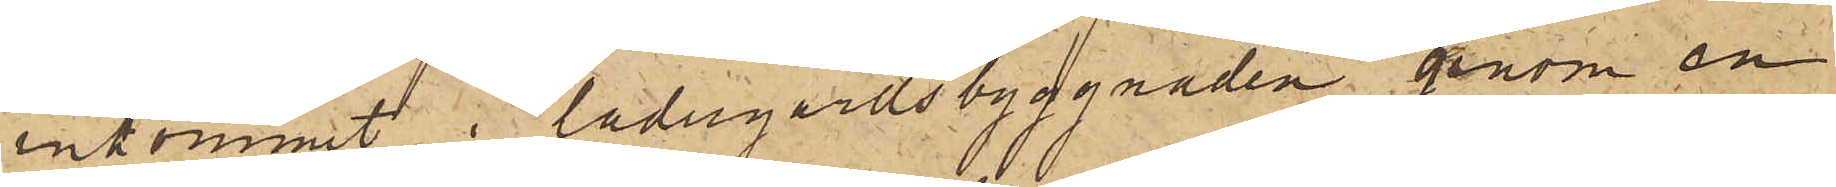inkommit i ladugårdsbyggnaden genom en
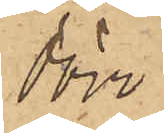dörr
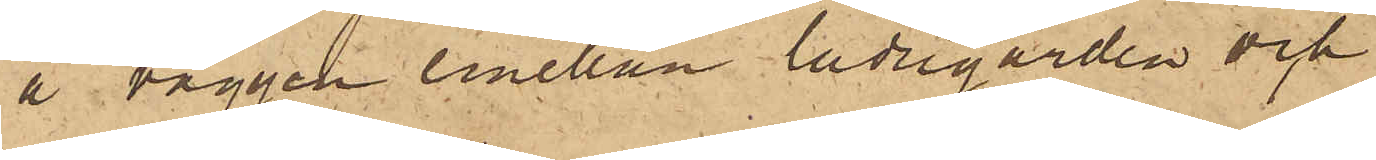å väggen emellan ladugården och
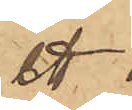ett
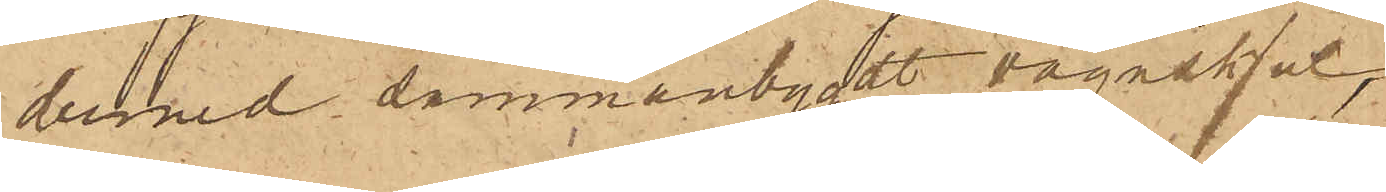dermed sammanbygdt vagnskjul
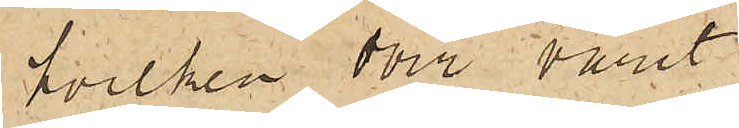hvilken dörr varit
